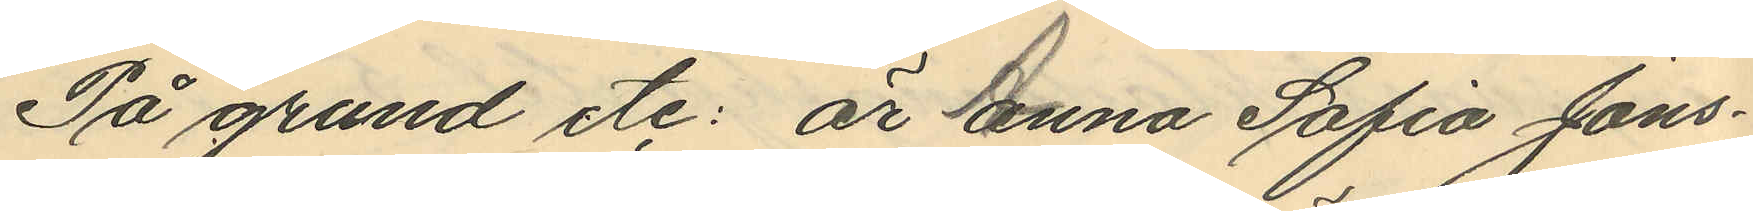På grund etc: är Anna Sofia Jons¬
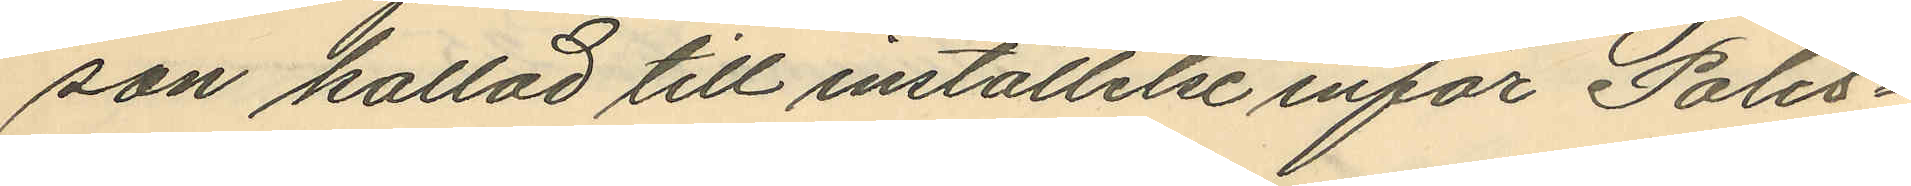son kallad till inställelse inför Polis¬
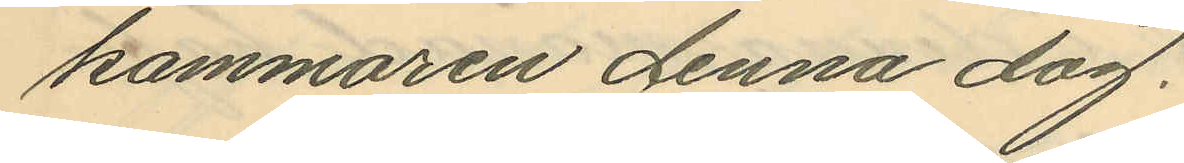kammaren denna dag.
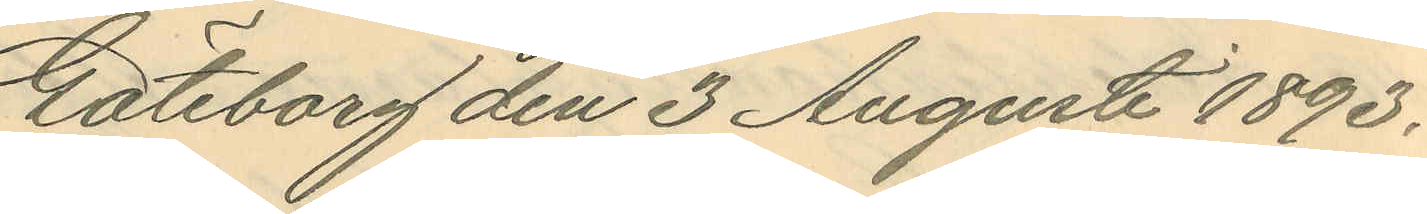Göteborg den 3 Augusti 1893.
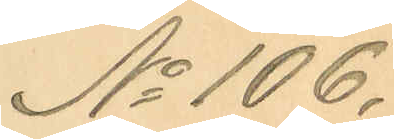No 106.
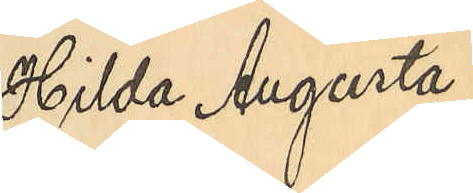Hilda Augusta
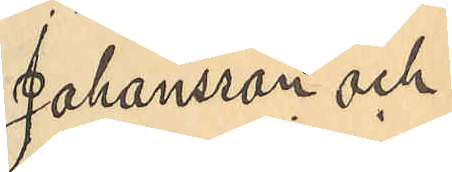Johansson och
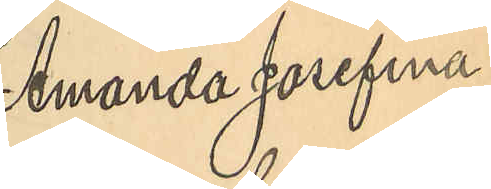Amanda Josefina
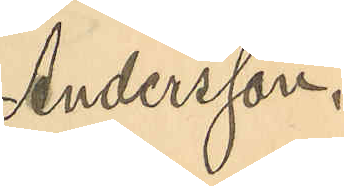Andersson.
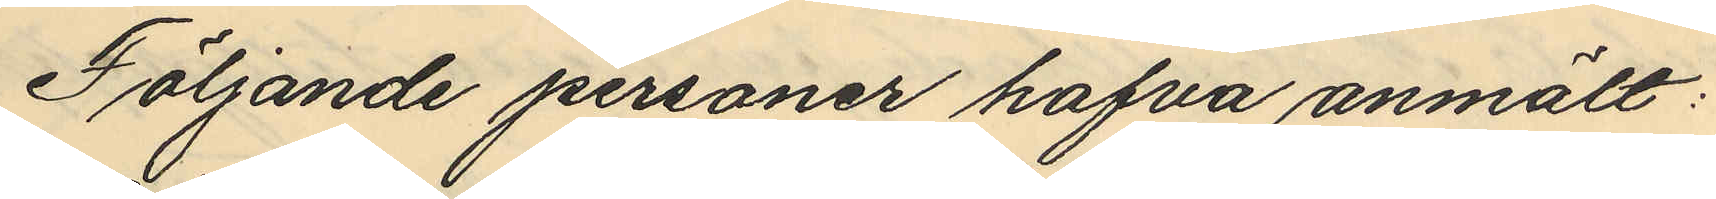Följande personer hafva anmält:
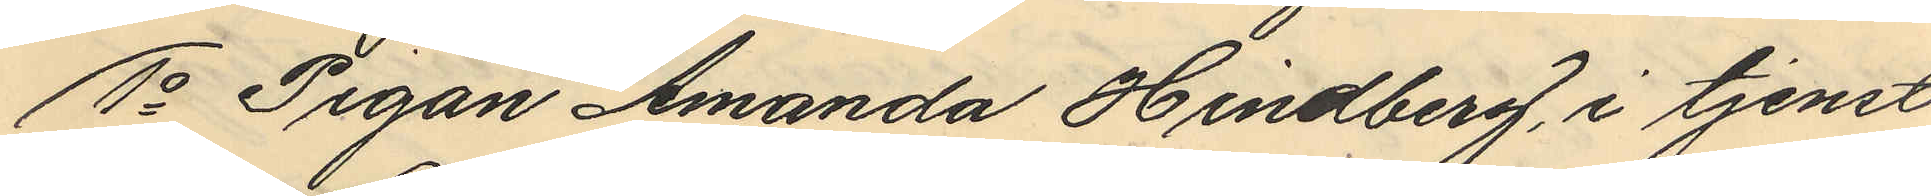1o Pigan Amanda Hindberg, i tjenst
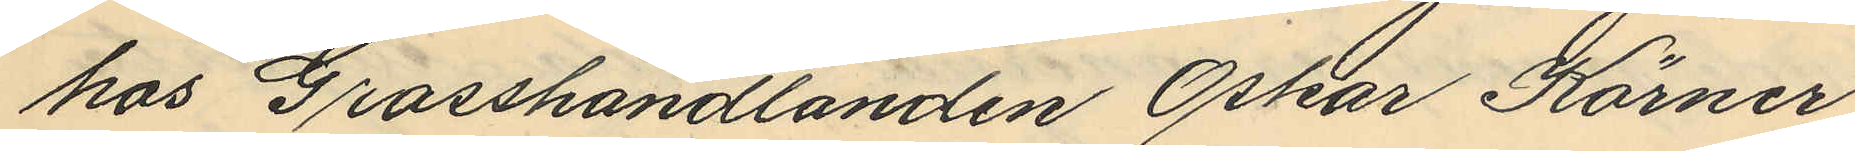hos Grosshandlanden Oskar Körner
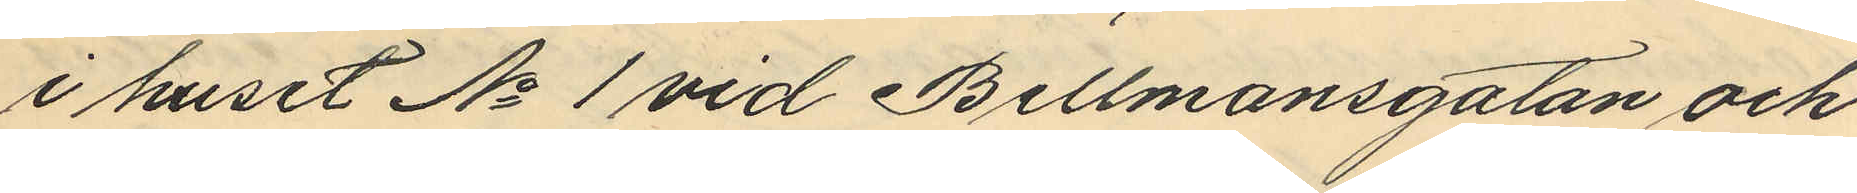i huset No 1 vid Bellmansgatan och
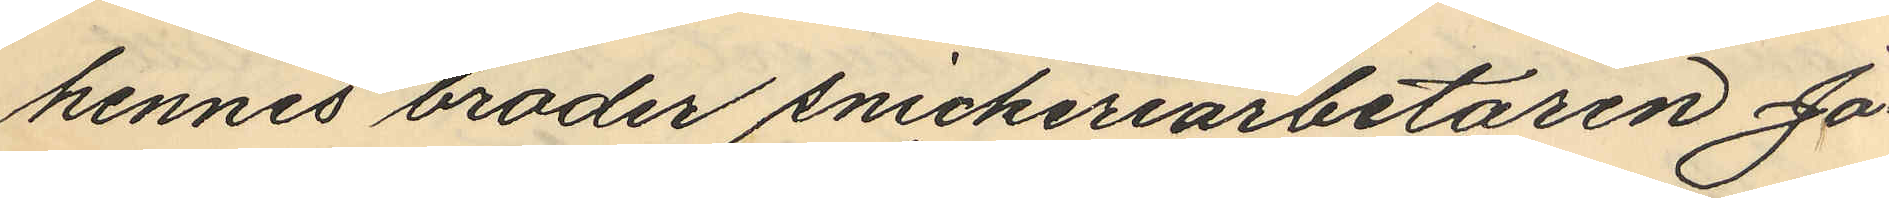hennes broder snickeriarbetaren Jo¬
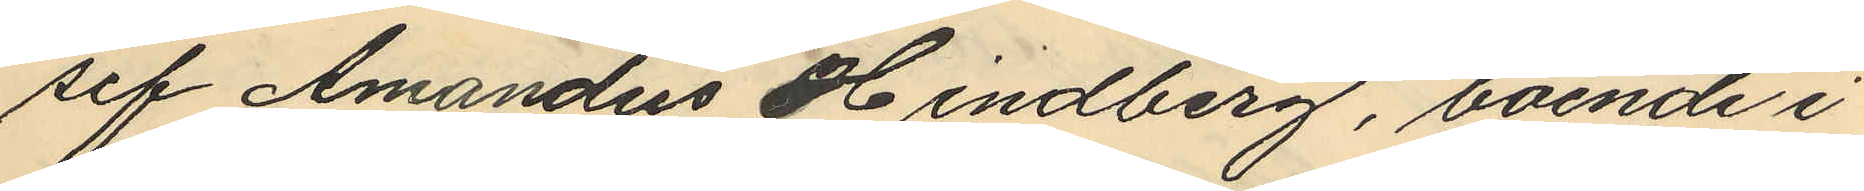sef Amandus Hindberg, boende i
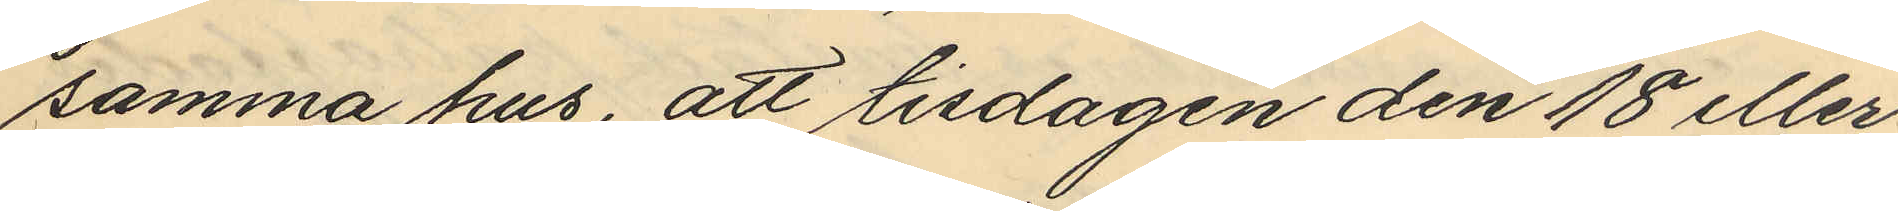samma hus, att tisdagen den 18 eller
